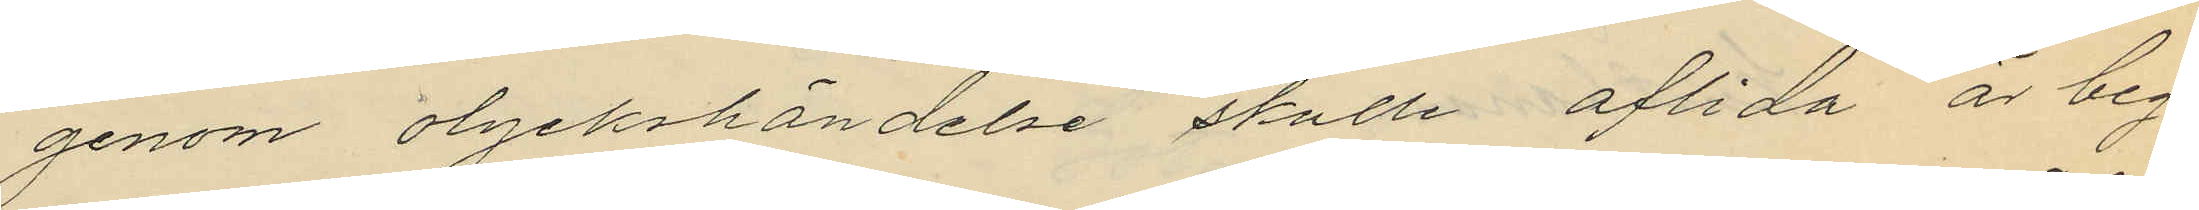genom olyckshändelse skulle aflida är beg¬
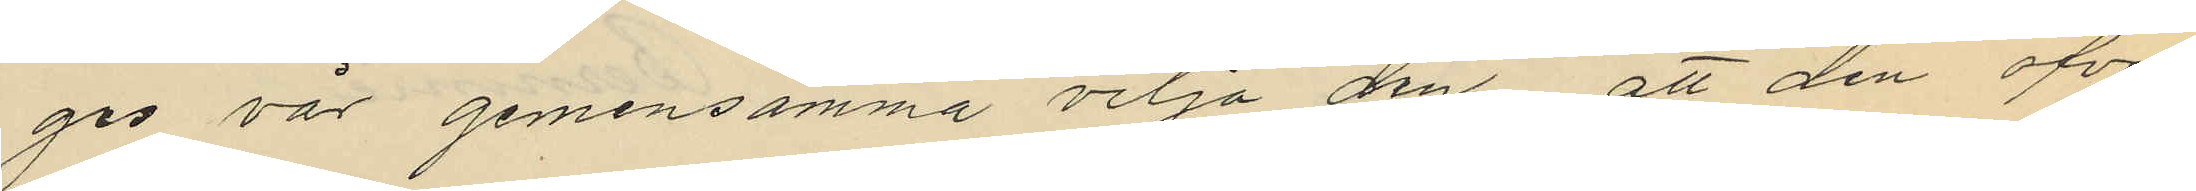ges vår gemensamma vilja den att den öfver¬
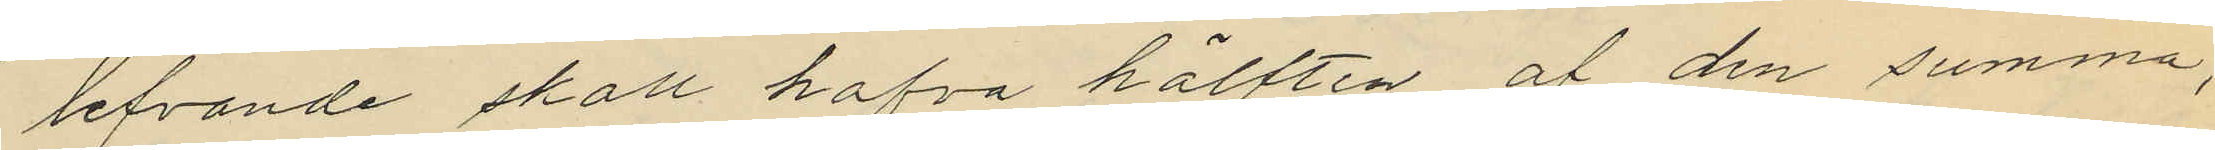lefvande skall hafva hälften af den summa,
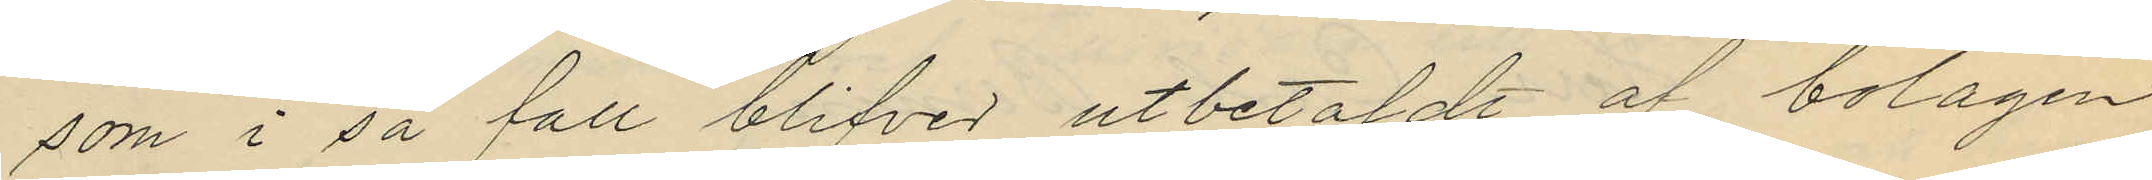som i så fått blifver utbetaldt af bolagen
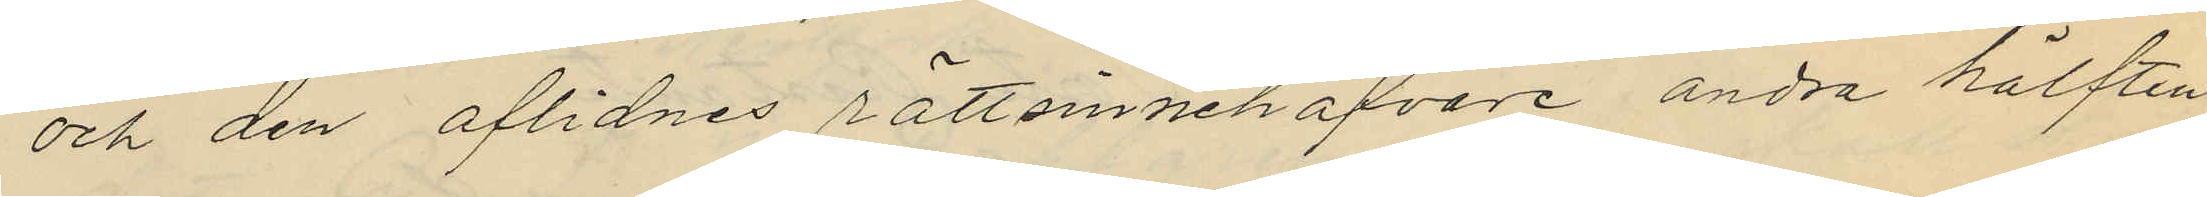och den aflidnes rättsinnehafvare andra hälften
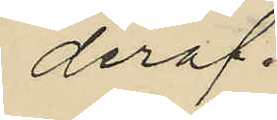deraf.
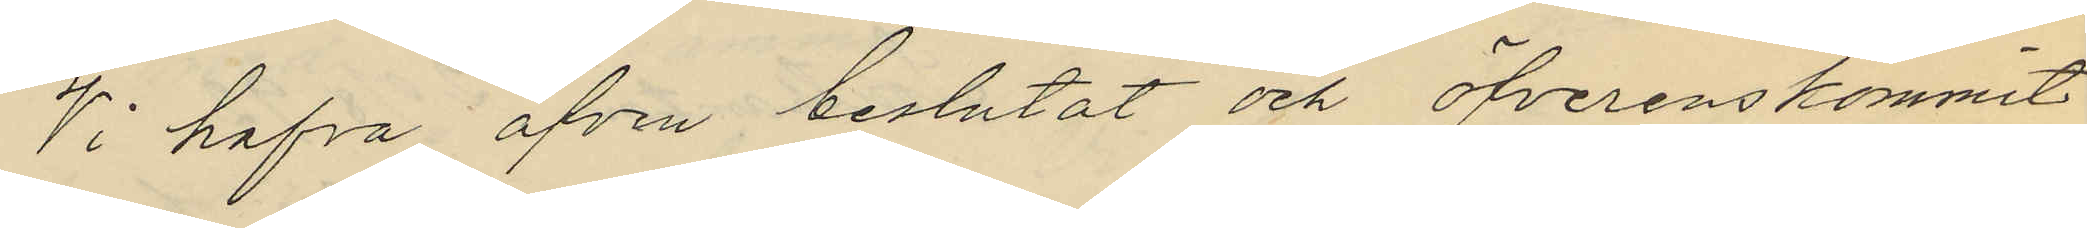Vi hafva äfven beslutat och öfverenskommit
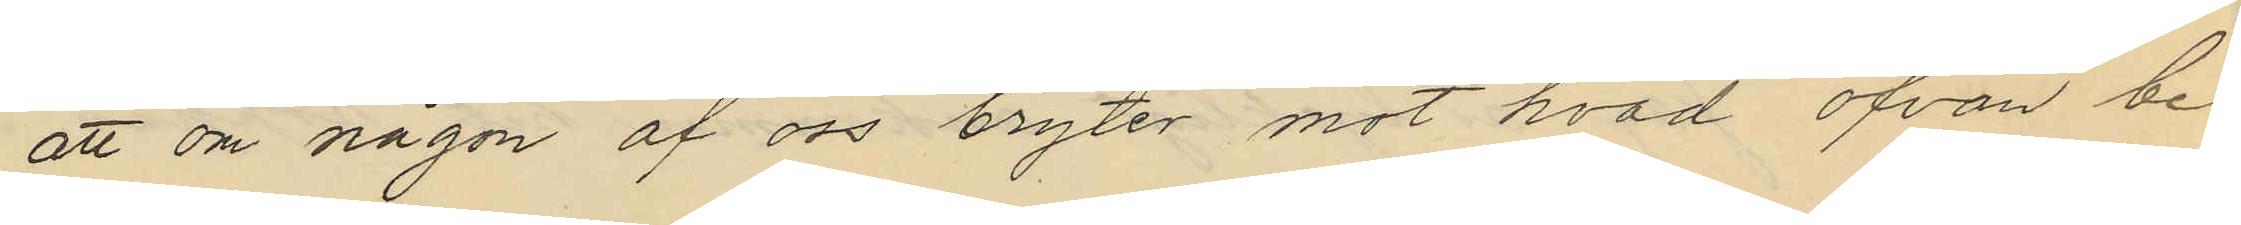att om någon af oss bryter mot hvad ofvan be¬
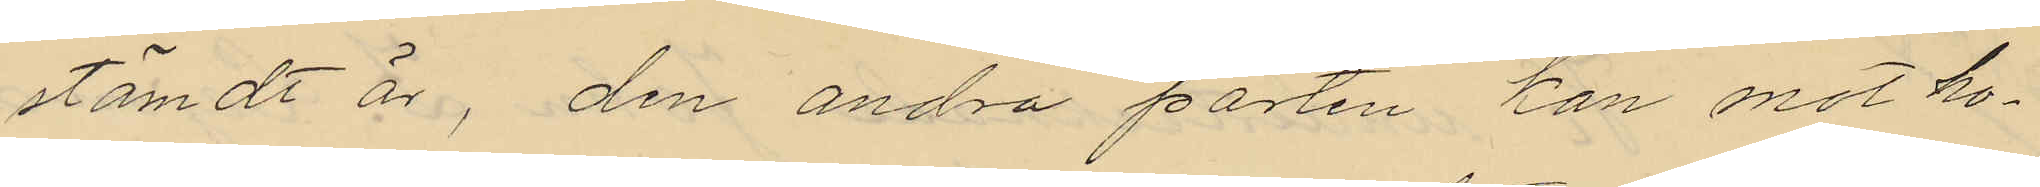stämdt är, den andra parten kan mot ho¬
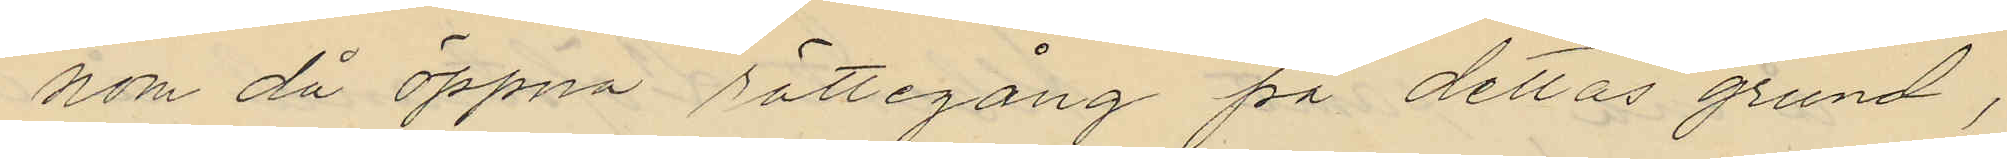nom då öppna rättegång på dettas grund,
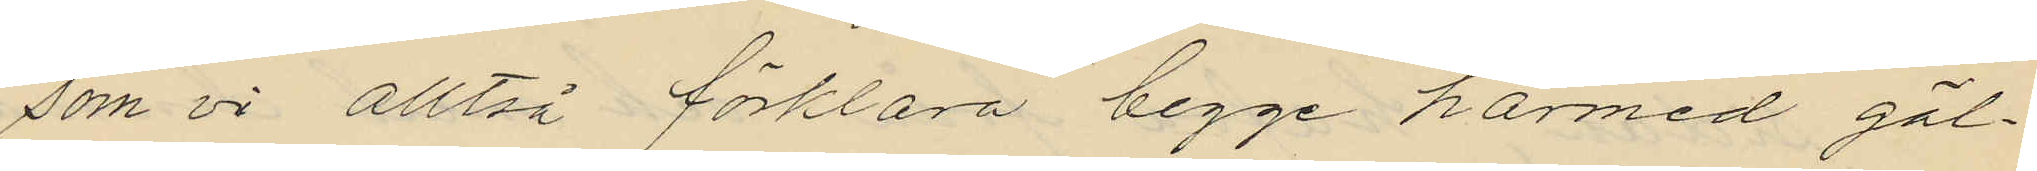som vi alltså förklara begge härmed gäl¬
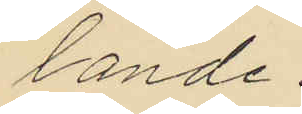lande.
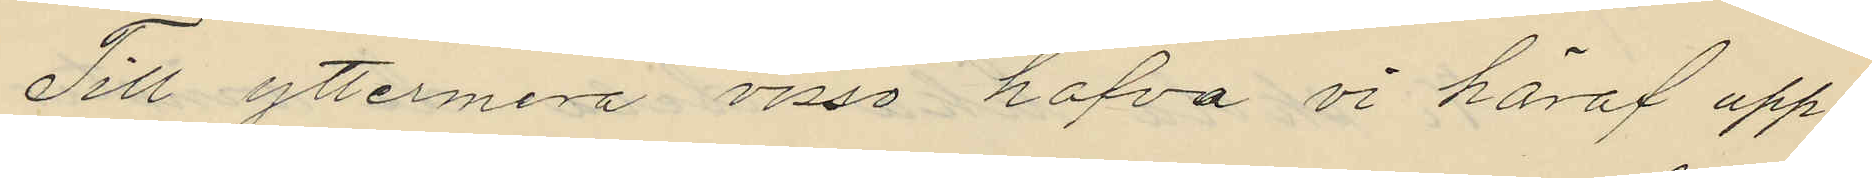Till yttermera visso hafva vi häraf upp¬
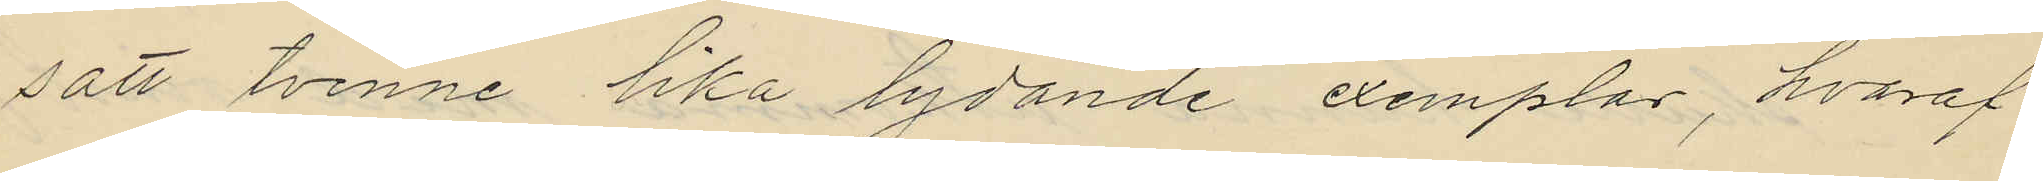satt tvenne lika lydande exemplar, hvaraf
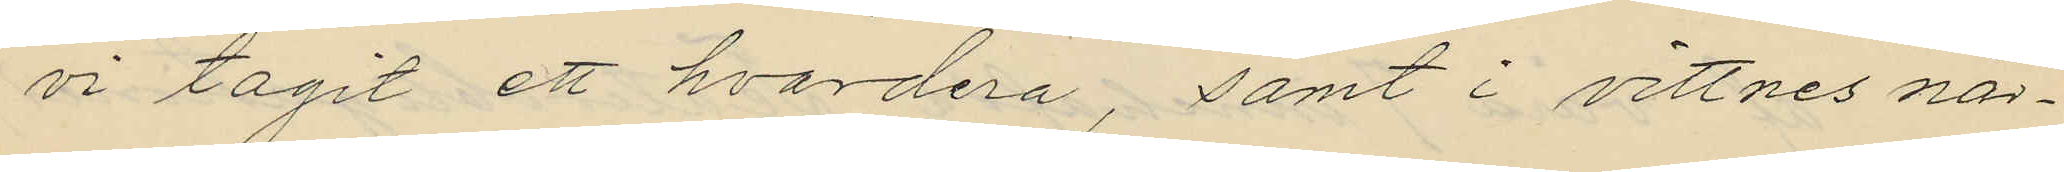vi tagit ett hvardera, samt i vittnes när¬
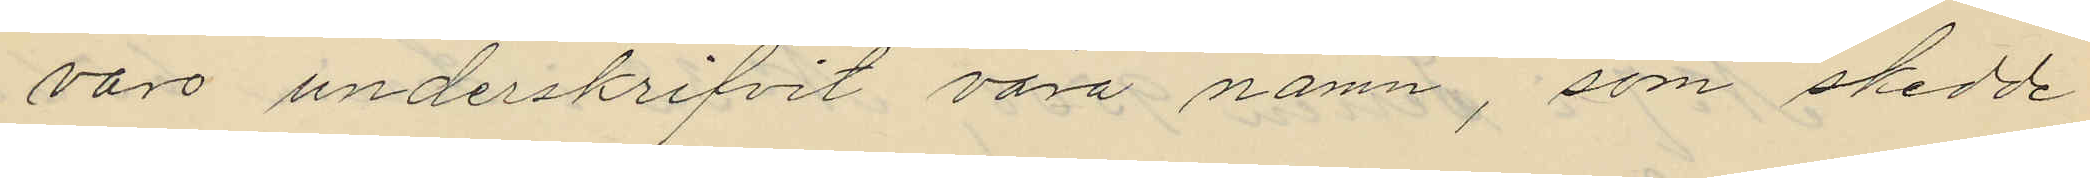voro underskrifvit våra namn, som skedde
